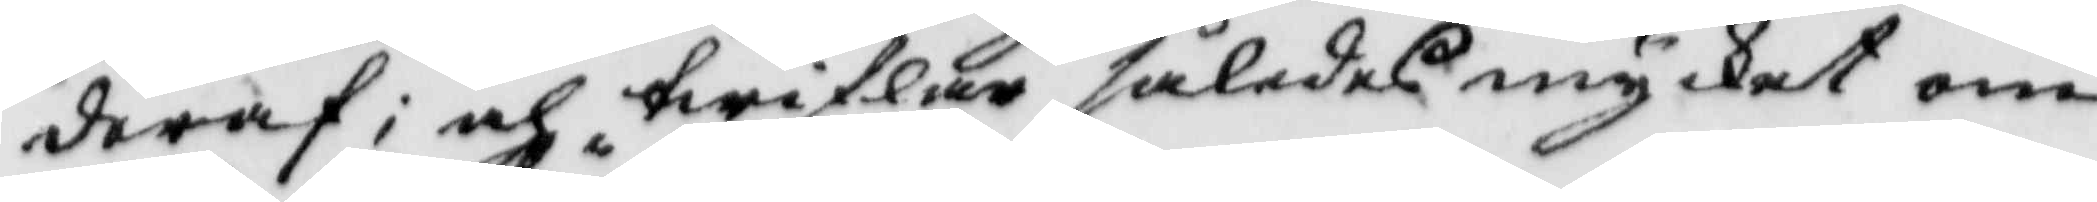deraf; och twiflar således mycket om
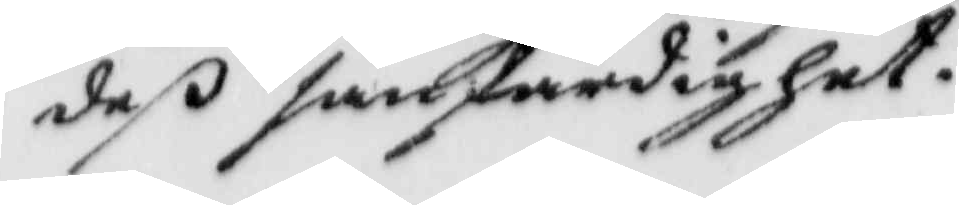deß sanfärdighet.
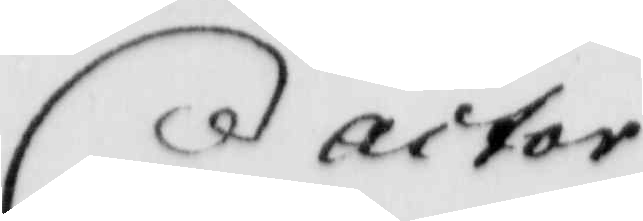actor
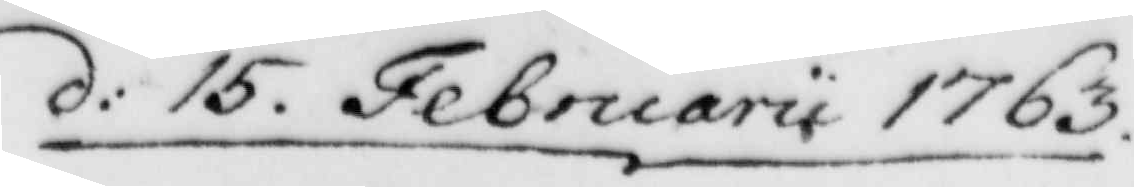d: 15. Februarii 1763.
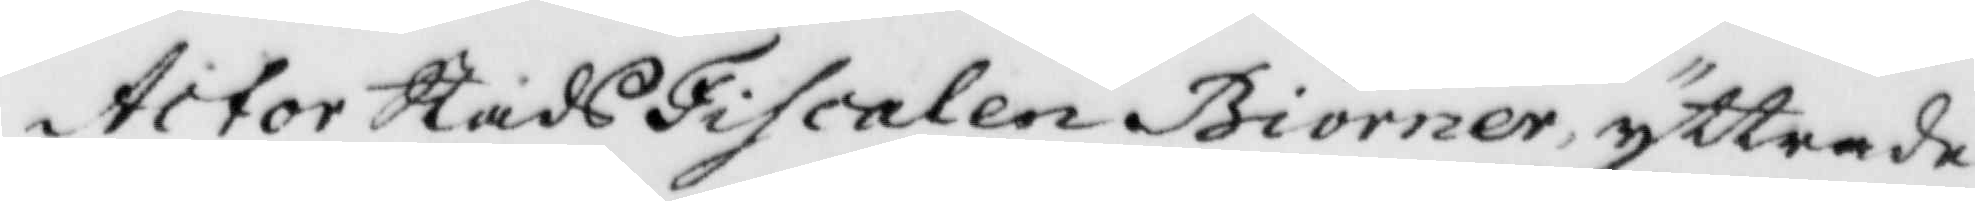Actor StadsFiscalen Biörner yttrade
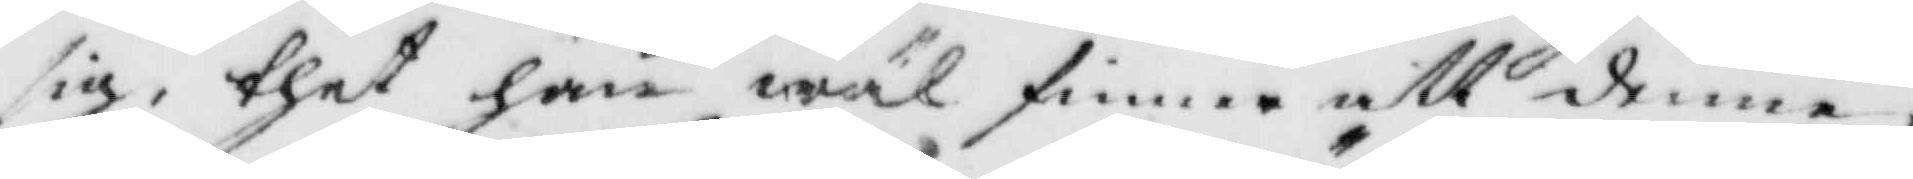sig, thet han wäl finna att denne
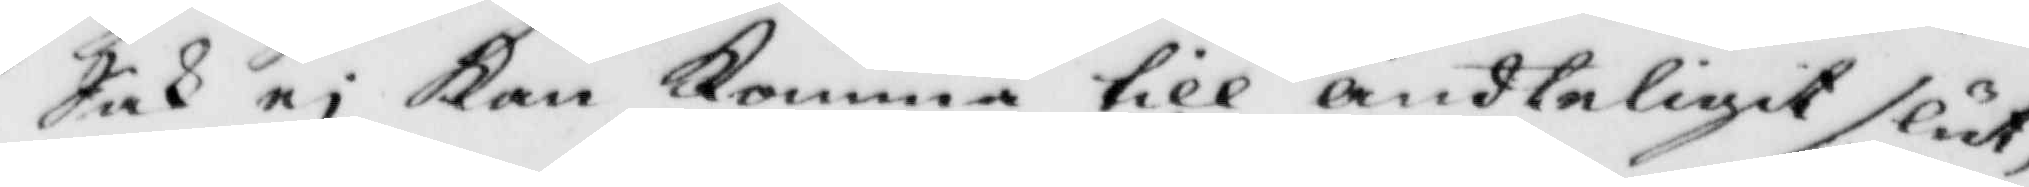Sak ei Kan Komma till ändteligit slut,
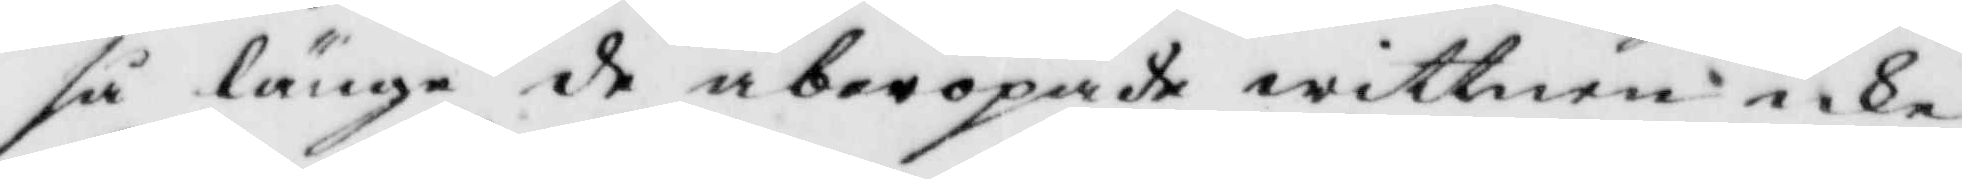så länge de åberopade wittnen icke
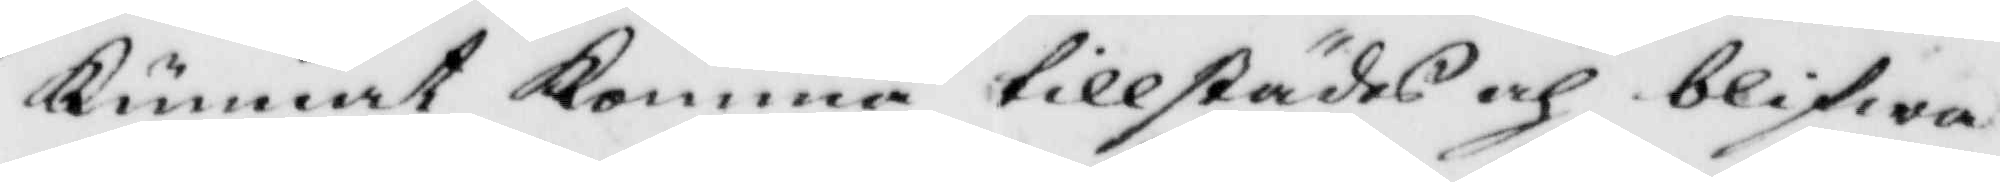Kunnat Komma tillstädes och blifwa
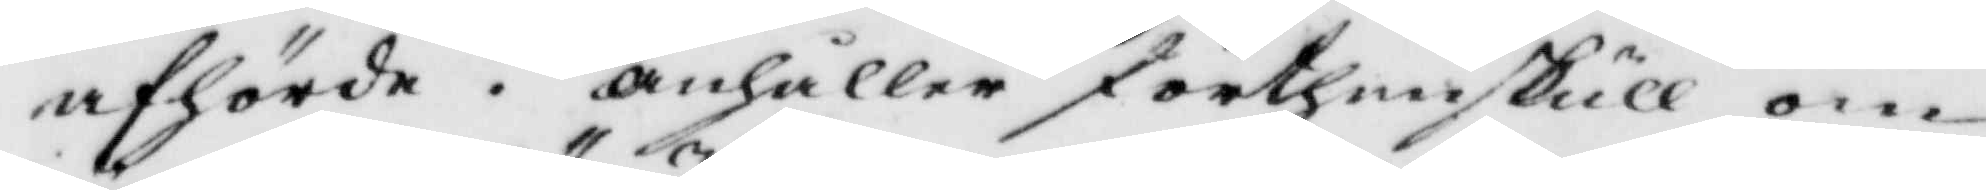afhörde. anhåller förthenskull om
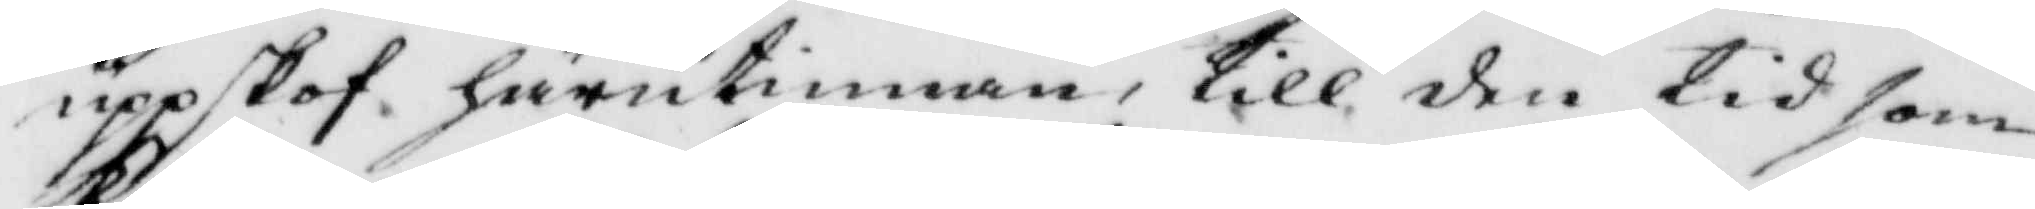uppskof härutinnan, till den tid som
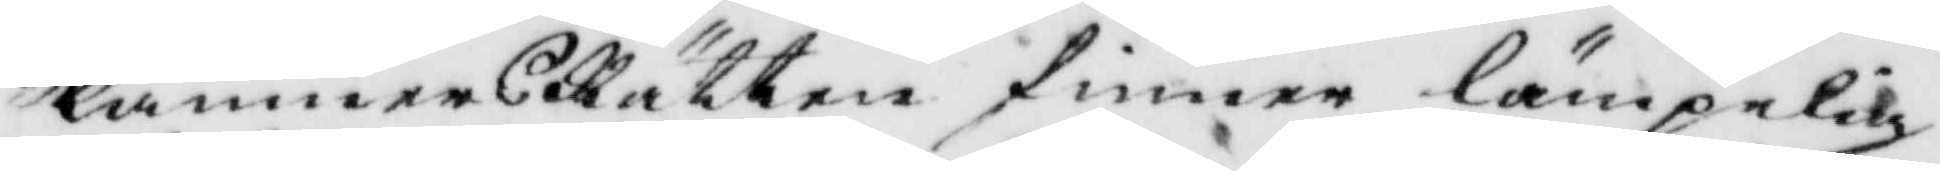KämnersRätten finner lämpelig
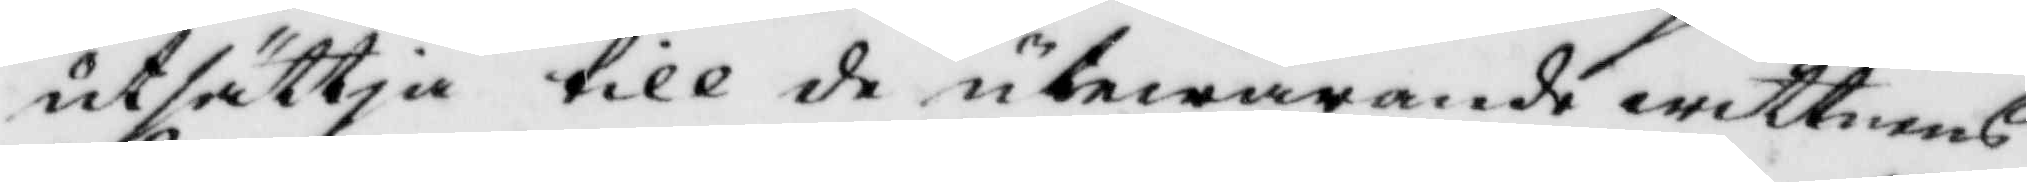utsättja till de utewarande wittnens
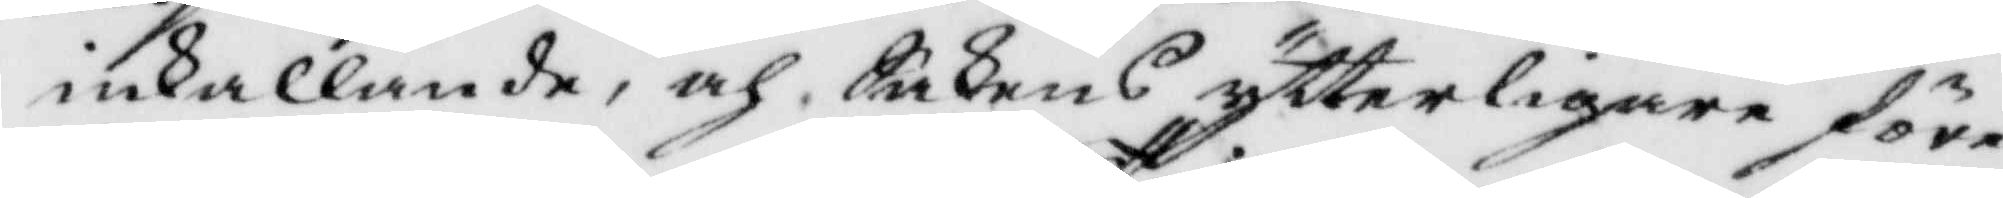inkallande, och Sakens ytterligare före¬
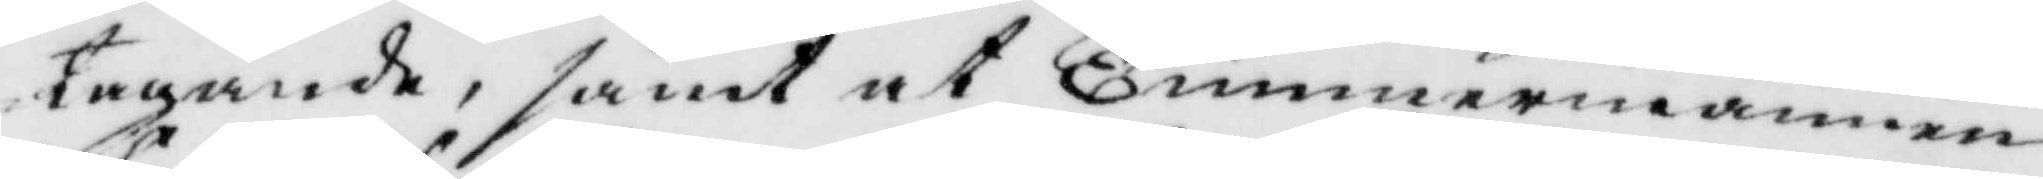tagande, samt at Timmermannen
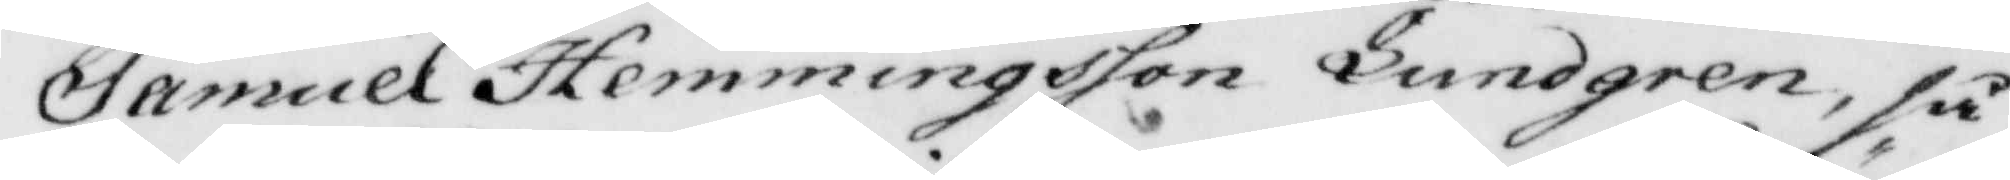Samuel Hemmingsson Lundgren, så
